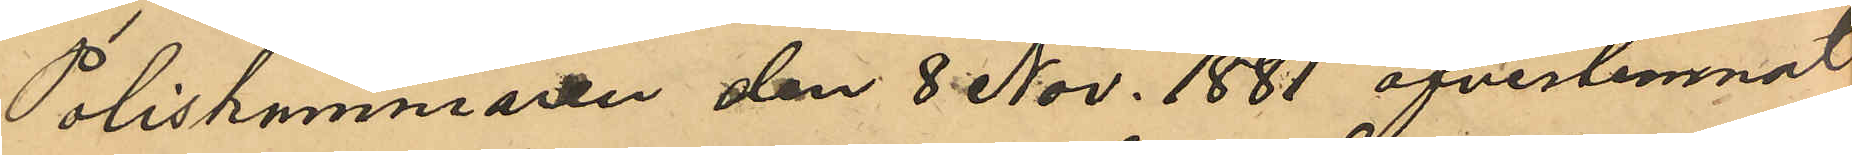Poliskammaren den 8 Nov. 1881 öfverlemnat
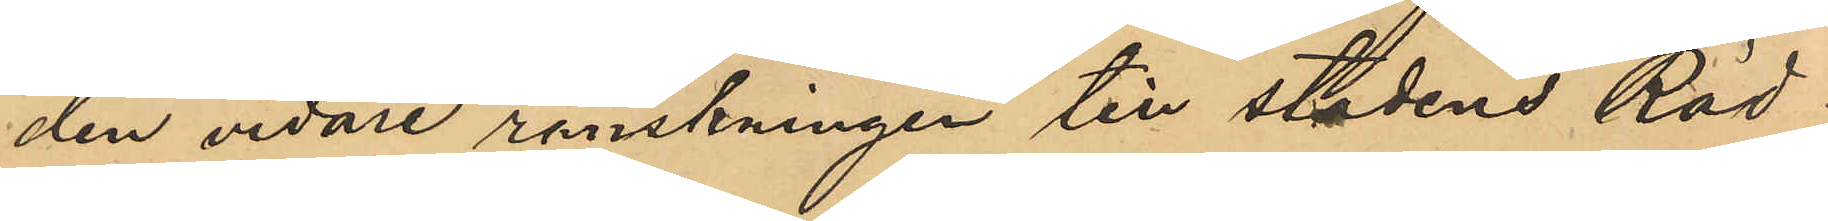den vidare ranskningen till stadens Råd¬
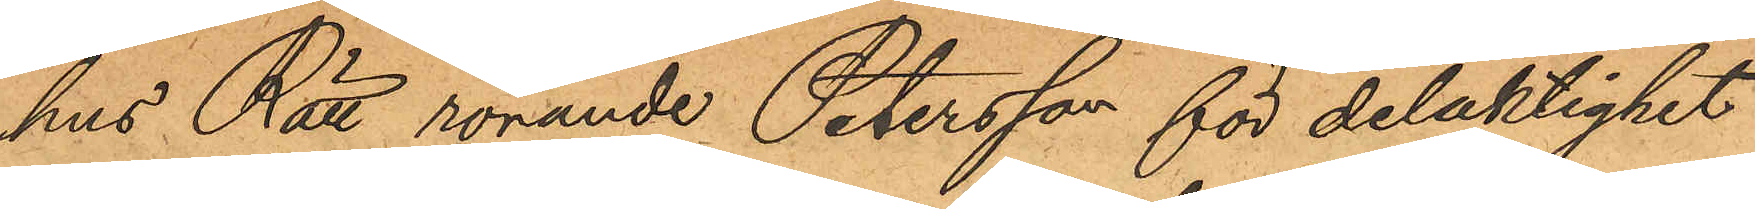hus Rätt rörande Petersson för delaktighet
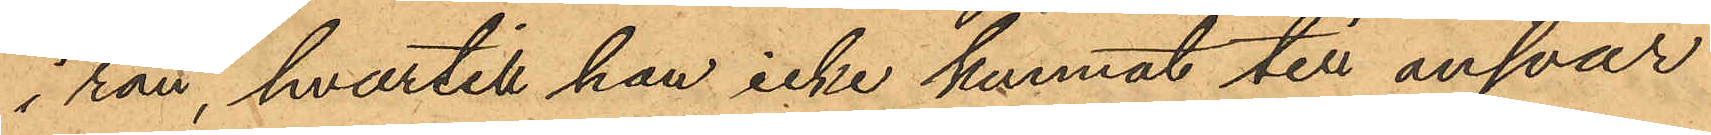i rån, hvartill han icke kunnat till ansvar
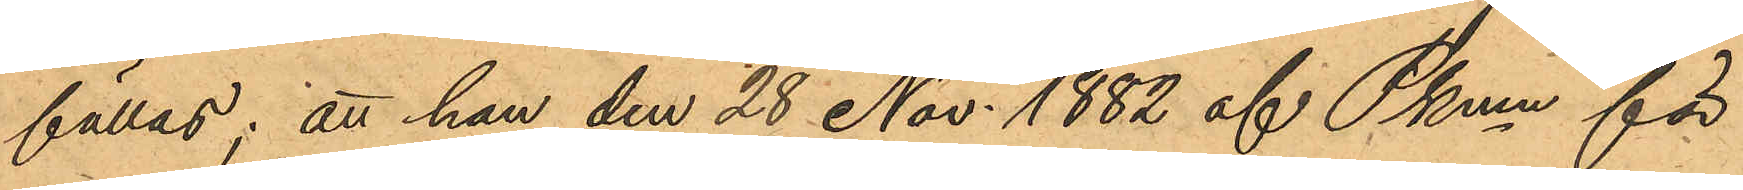fällas; att han den 28 Nov. 1882 af Pkmn för
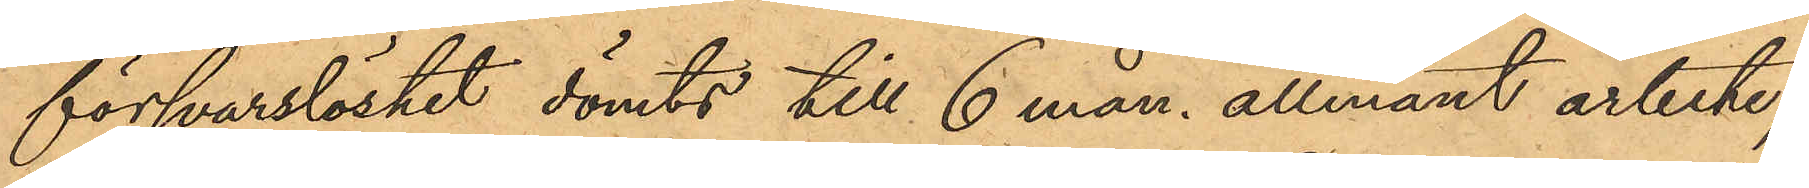försvarslöshet dömts till 6 mån. allmänt arbete;
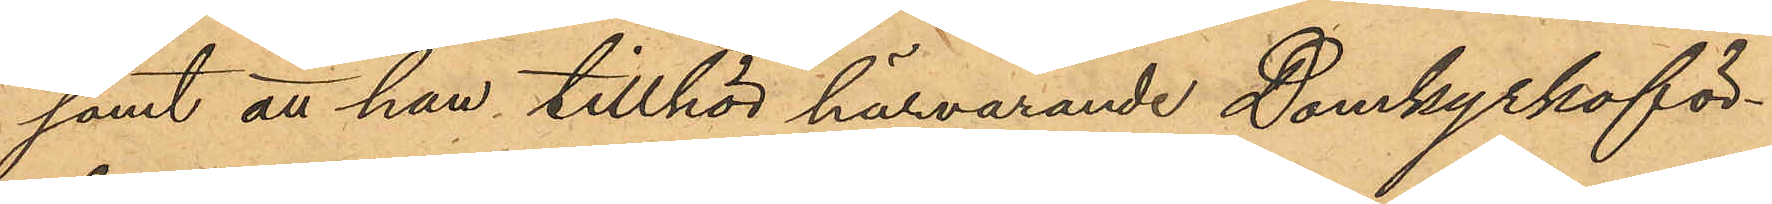samt att han tillhör härvarande Domkyrkoför¬
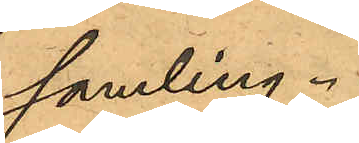samling.
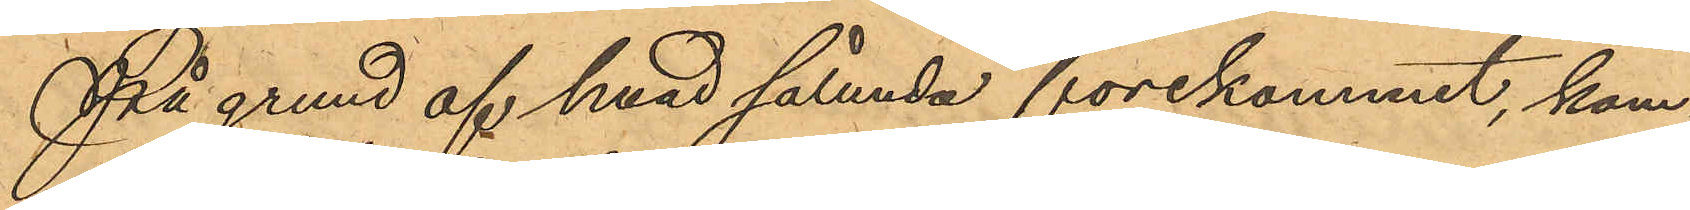På grund af hvad sålunda förekommit, kom¬
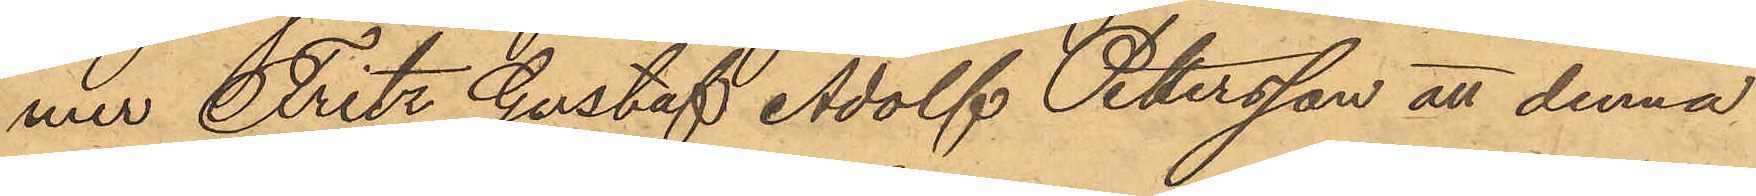mer Fritz Gustaf Adolf Petersson att denna
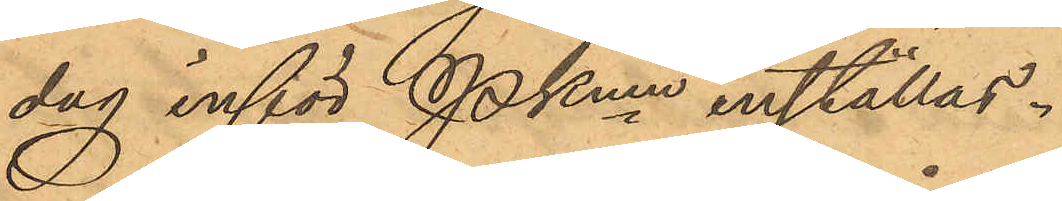dag inför Pkmn inställas.
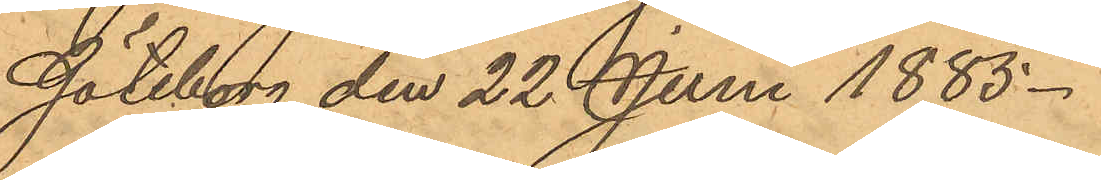Göteborg den 22 Juni 1885.
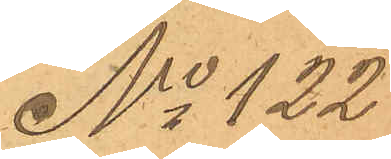No 122
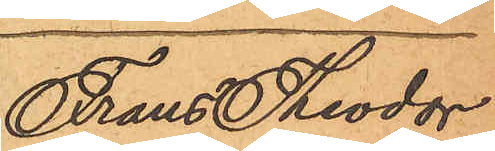Frans Theodor
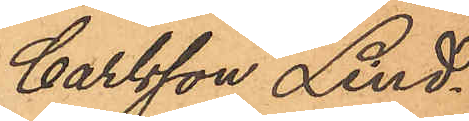Carlsson Lind¬
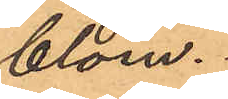blom.
